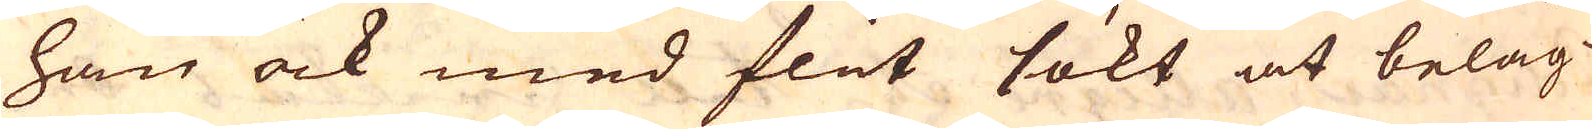han ock med flit sökt at beläg-
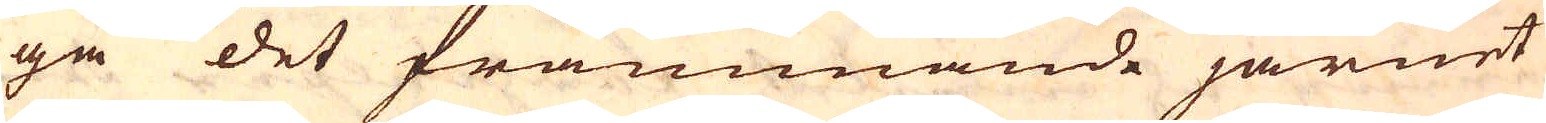ga det främmande järnet
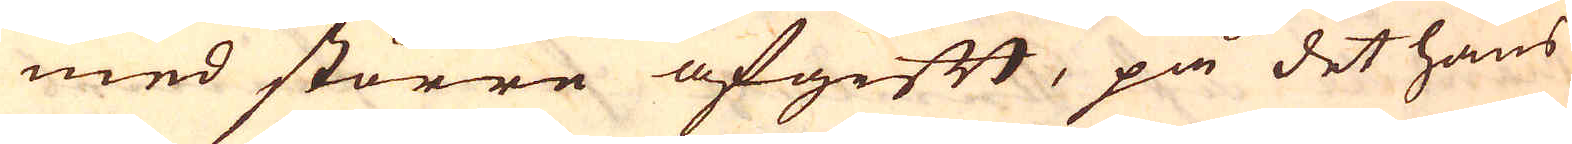med större afgift, på det hans
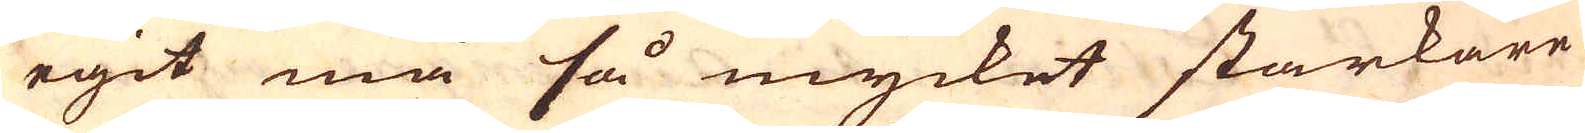egit må så mycket starkare
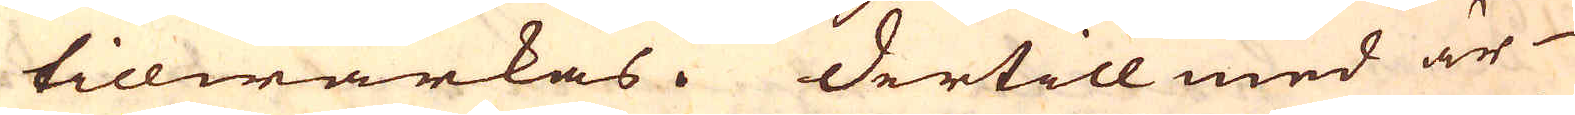tillwärkas. Dertill med är
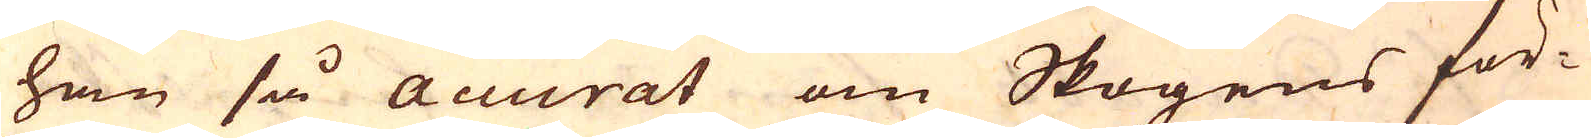han så accurat om Skogens för-
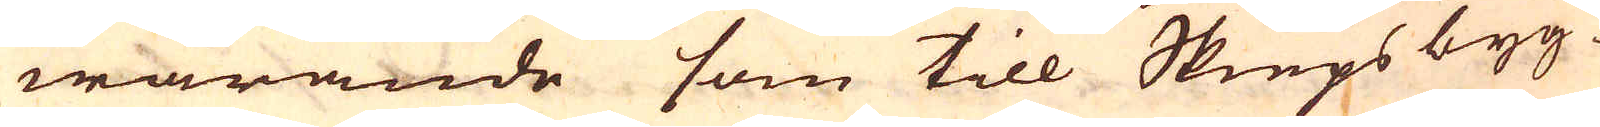warande som till Skieps byg-
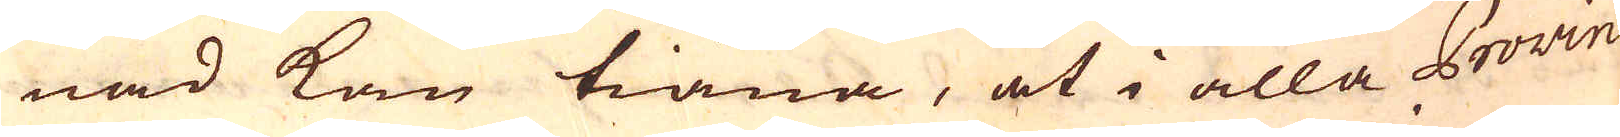nad kan tiäna, at i alla Provin-
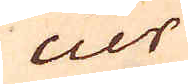cier
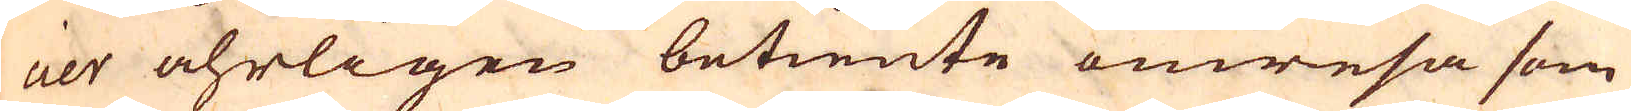cier åhrligen betiente omresa som
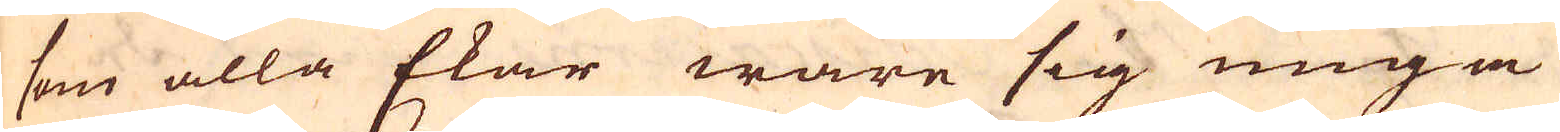som alla Ekar ware sig unga
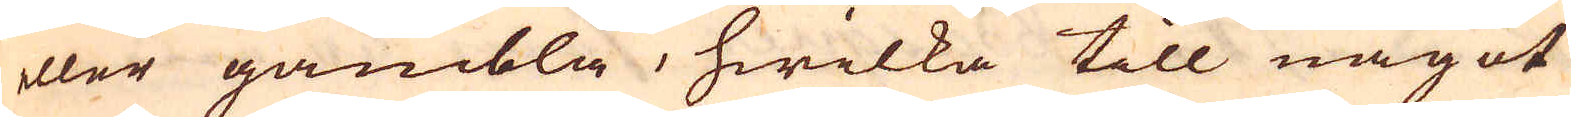eller gambla, hwilka till något
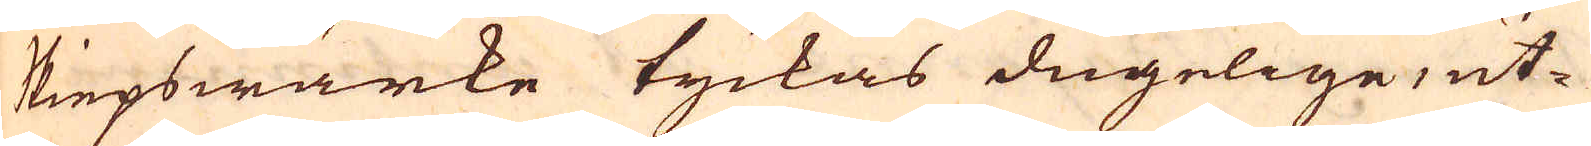Skiepswärke tyckas dugelige, ut-
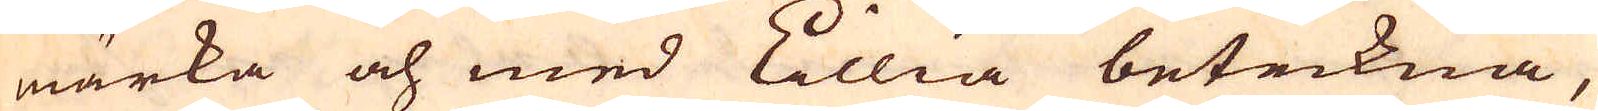märka och med Lillia beteckna,
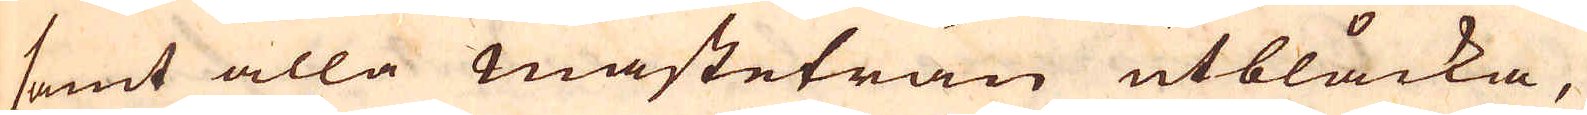samt alla Masteträn utblåcka,
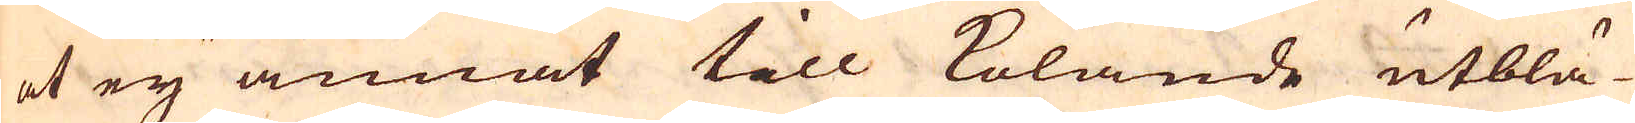at ey annat till kolande utblä-
